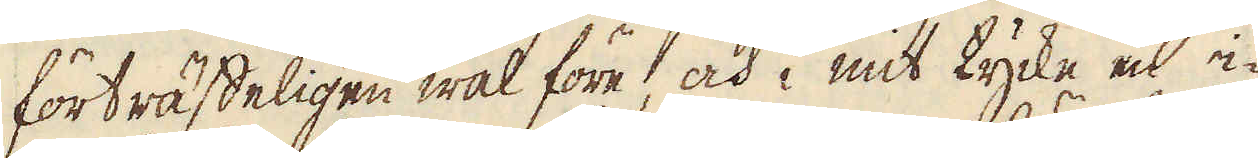förträffeligen wäl före, och i mit tycke en i-
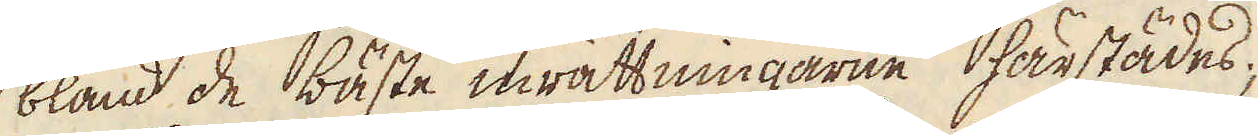bland de bäste inrättningarne härstädes;
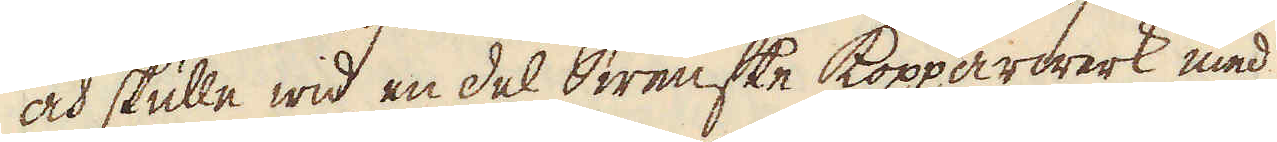och skulle wid en del Swenske Kopparwerk med
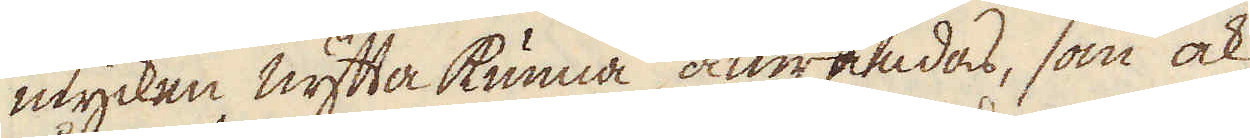mycken nytta kunna anwändas, som ock
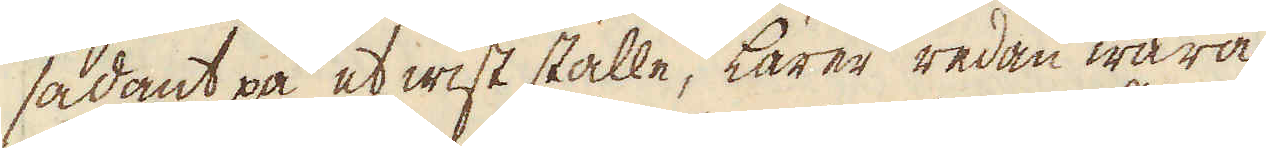sådant på et wist ställe, lärer redan wara
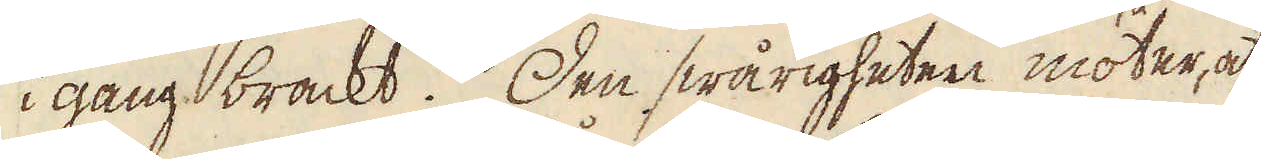i gång brackt. Den swårigheten möter, at
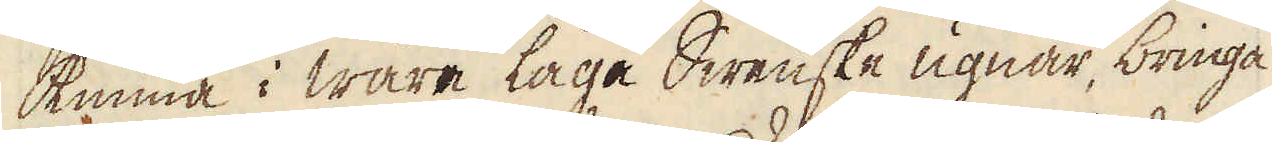kunna i wåre låge Swenske ugnar, bringa
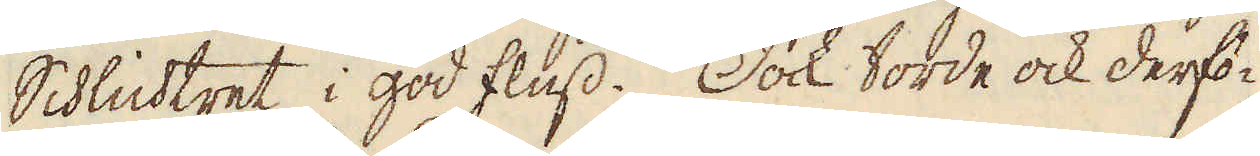Schlichtret i god fluss. Dock torde ock derfö-
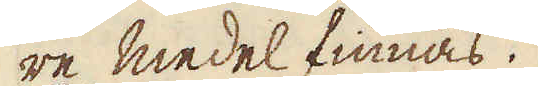re medel finnas.
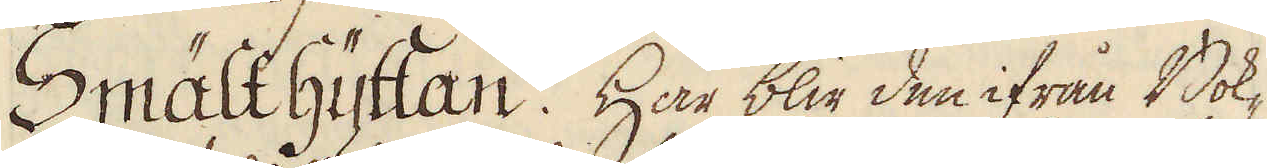Smält hyttan. Här blir den ifrån Bok-
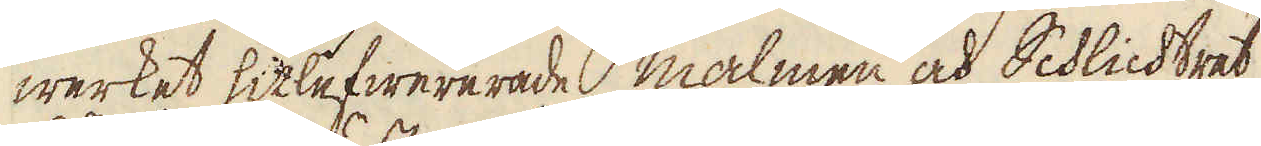werket hitlefwererade malmen och Schlichtret
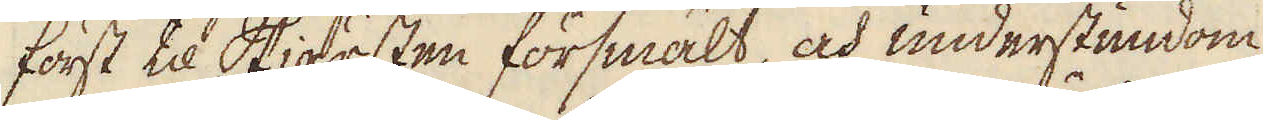först til Skiärsten försmält, och understundom
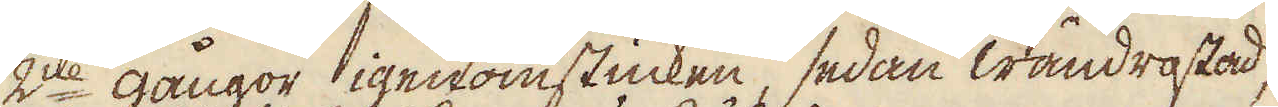2ne gångor igenomstucken, sedan wändrostad,
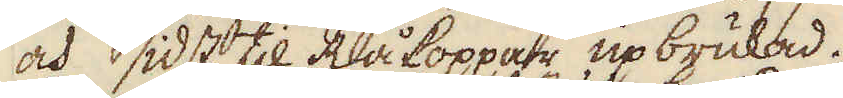och sidst til Råkoppar, upbrukad.
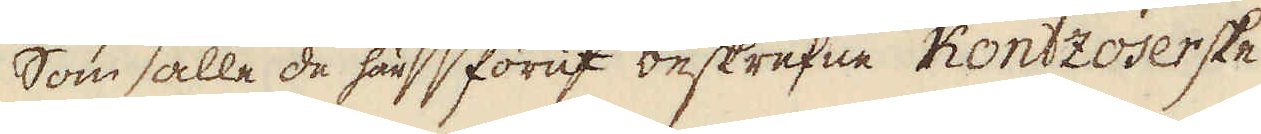Som alle de här förut beskrefne Kontzoserske
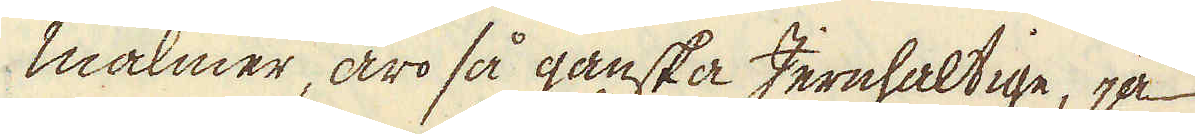malmer, äro så ganska Jernhaltige, ja
